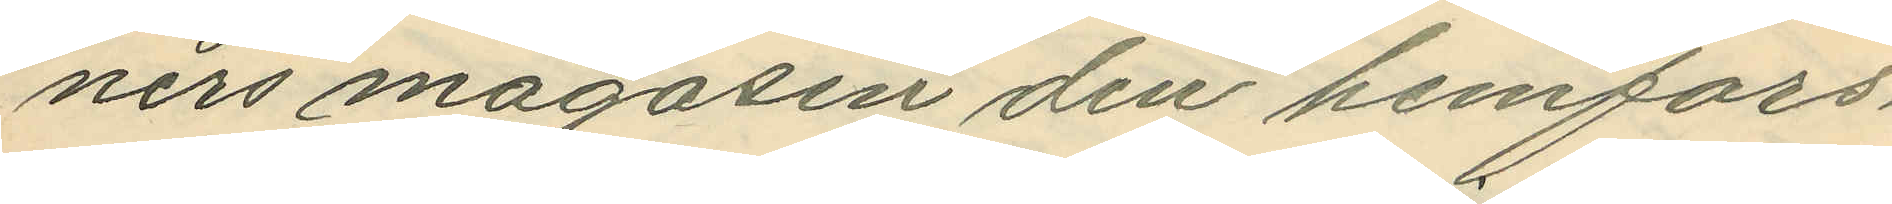ners magasin den hemfors¬
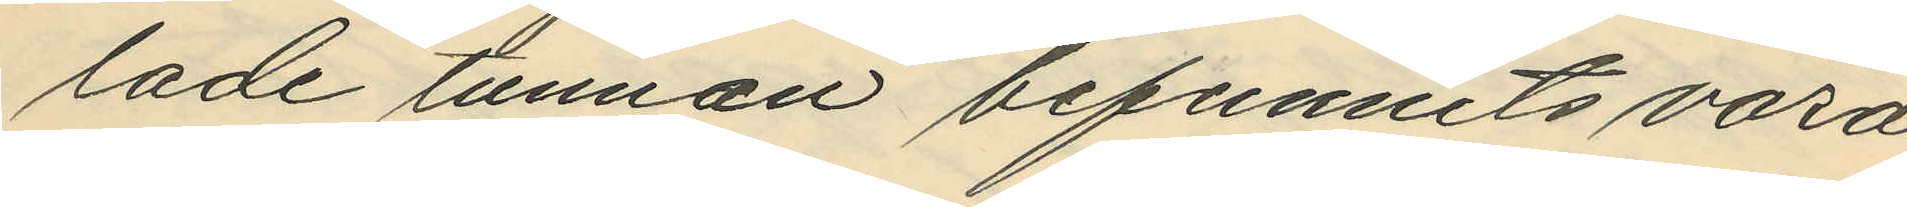lade tunnan befunnits vara
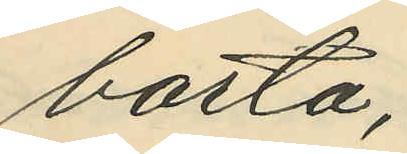borta;
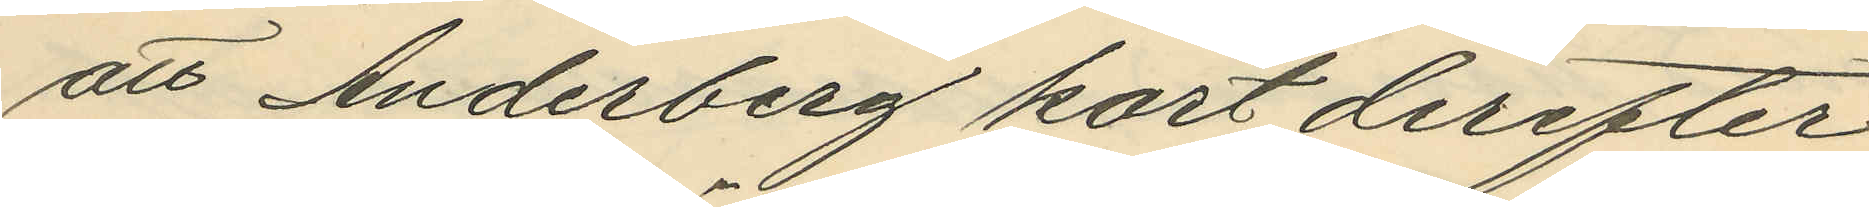att Anderberg kort derefter
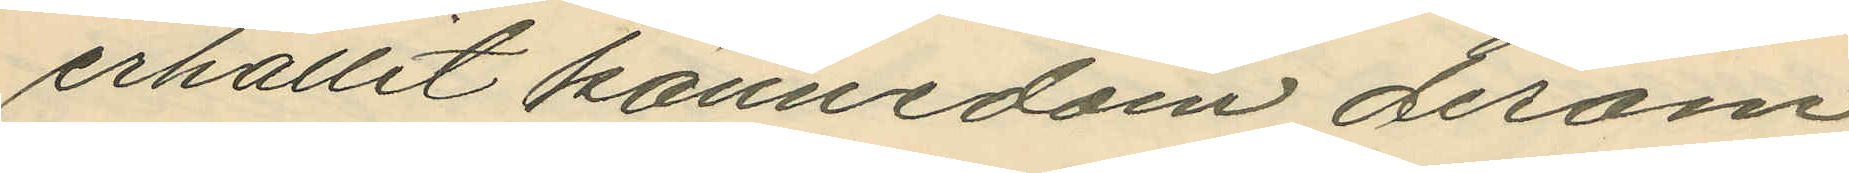erhållit kännedom derom
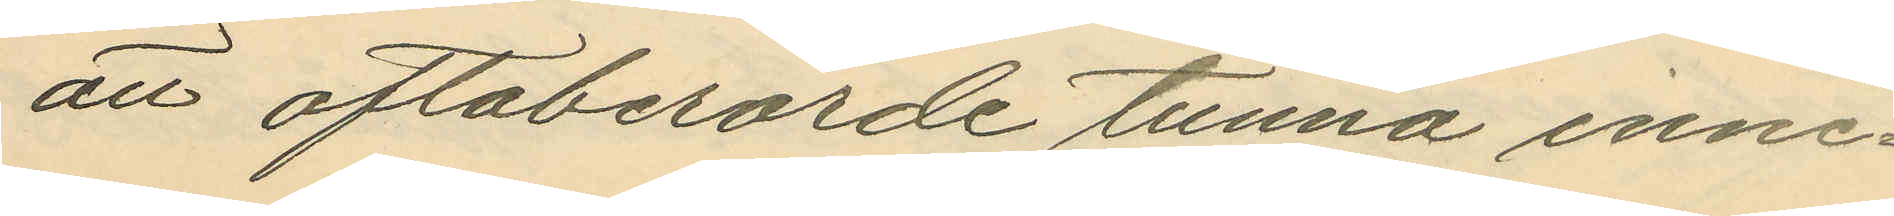att oftaberörde tunna inne¬
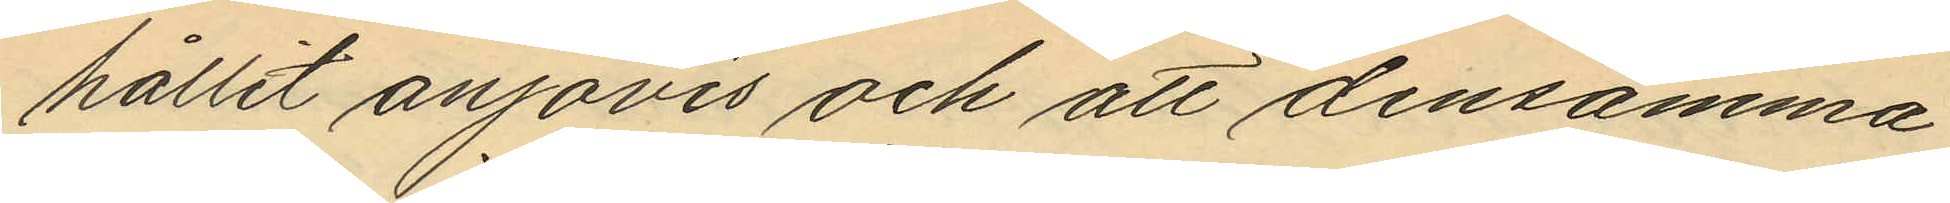hållit anjovis och att densamma
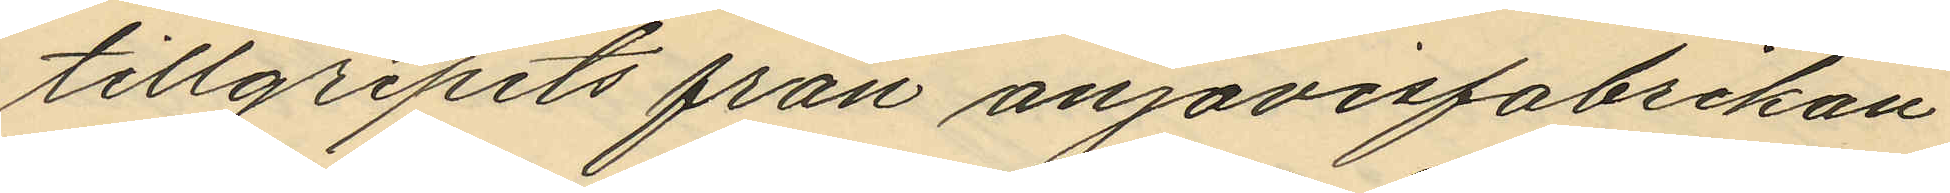tillgripits från anjovisfabrikan¬
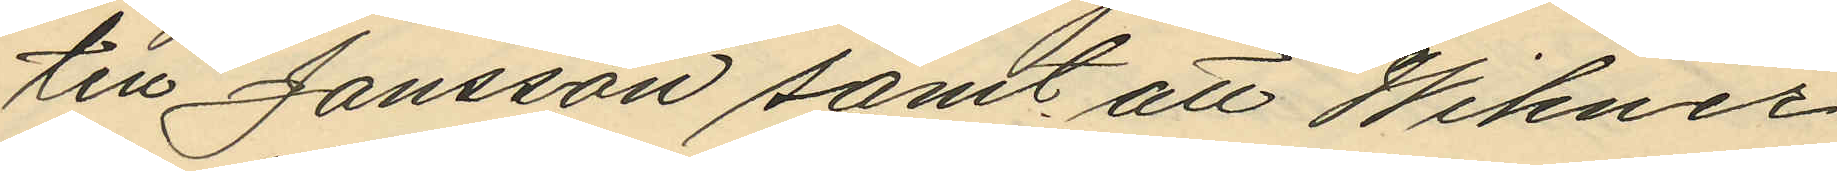till Jansson samt att Wikner
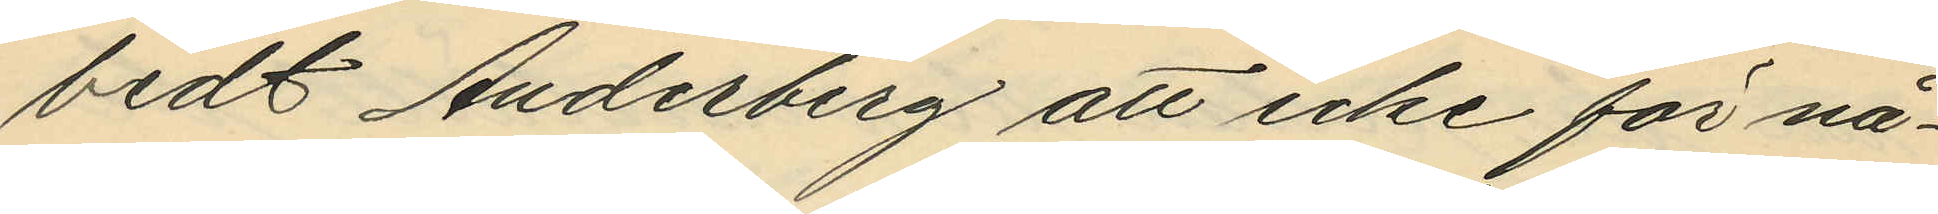bedt Anderberg att icke för nå¬
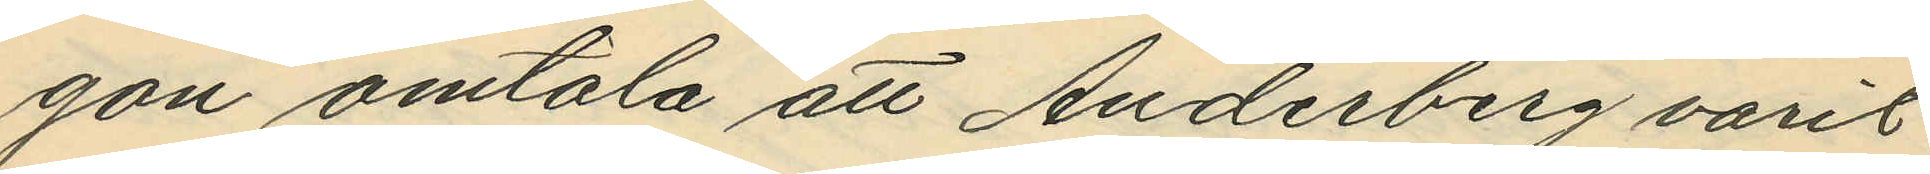gon omtala att Anderberg varit
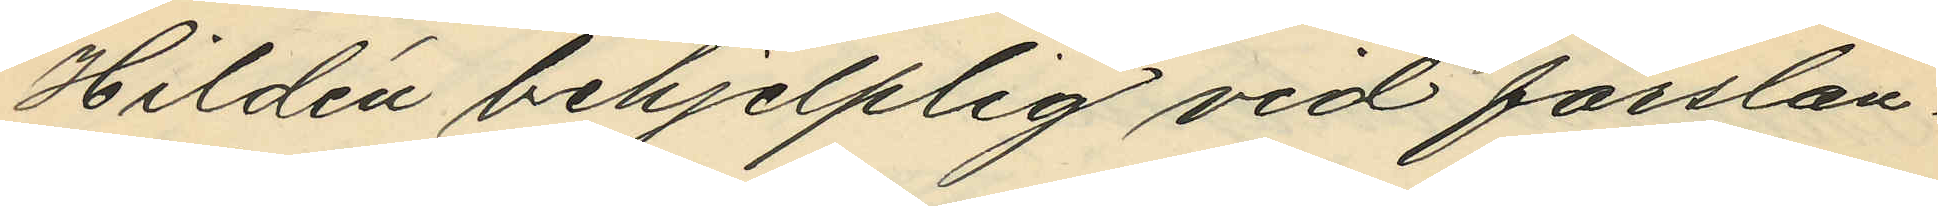Hildén behjelplig vid forslan¬
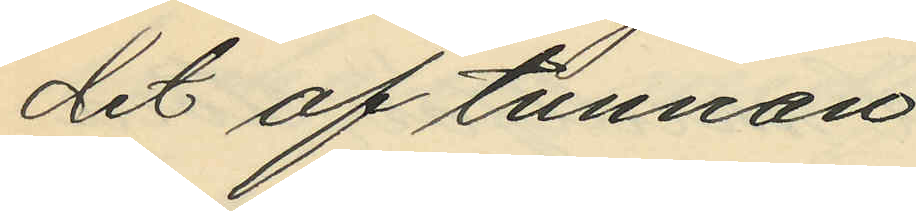det af tunnan.
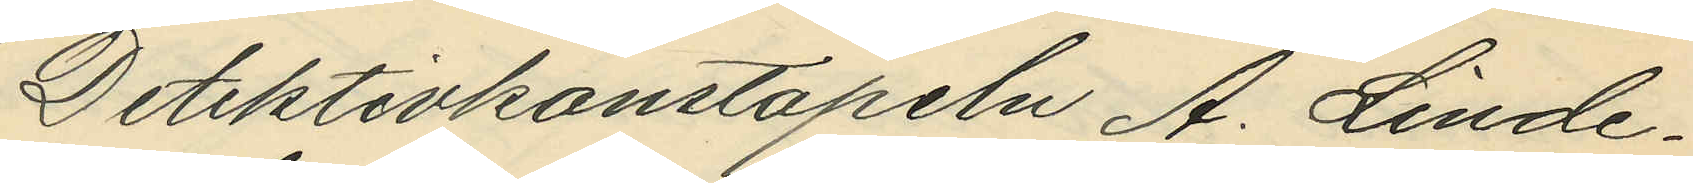Detektivkonstapeln A. Linde¬
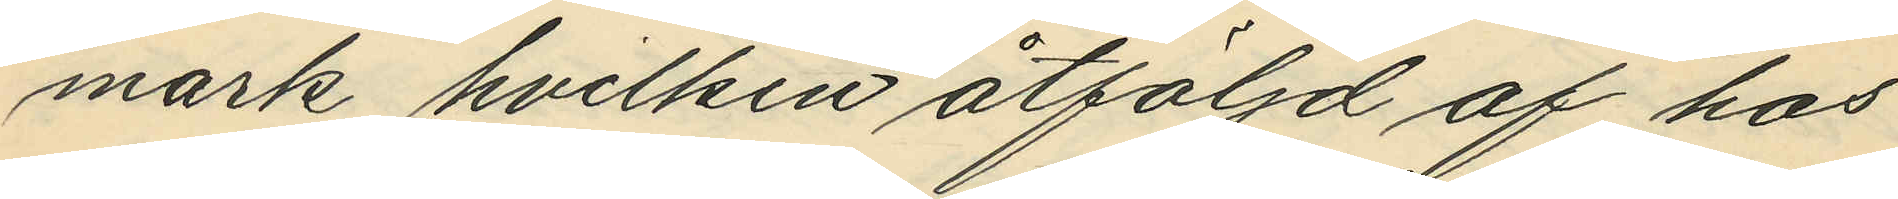mark hvilken åtföljd af hos
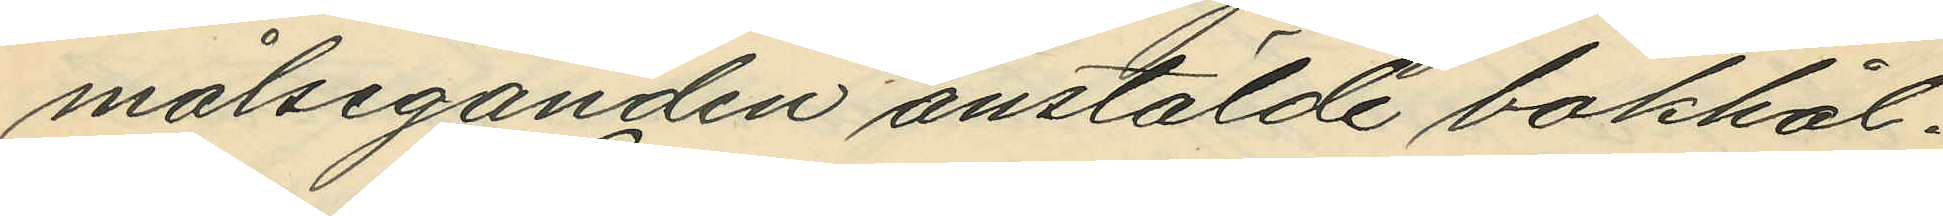målseganden anstälde bokhål¬
